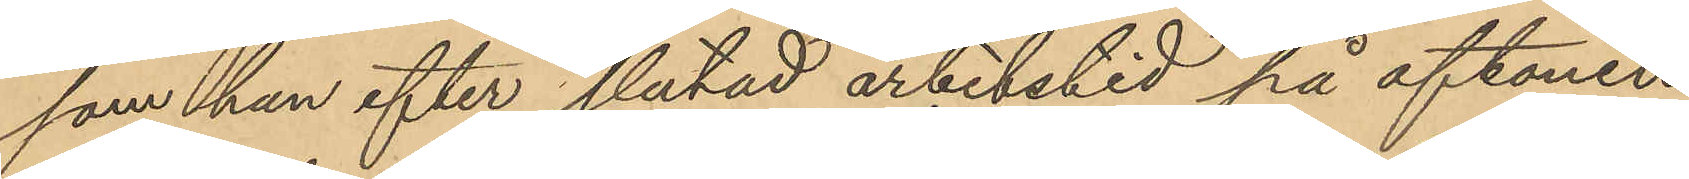som han efter slutad arbetstid på aftonen
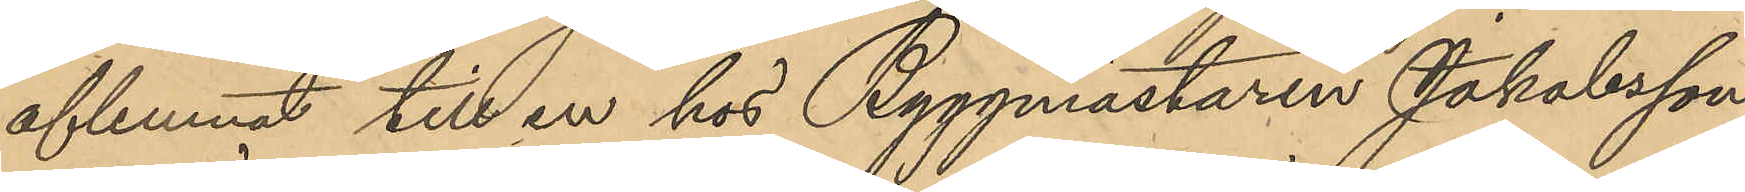aflemnat till en hos Byggmästaren Jakobsson
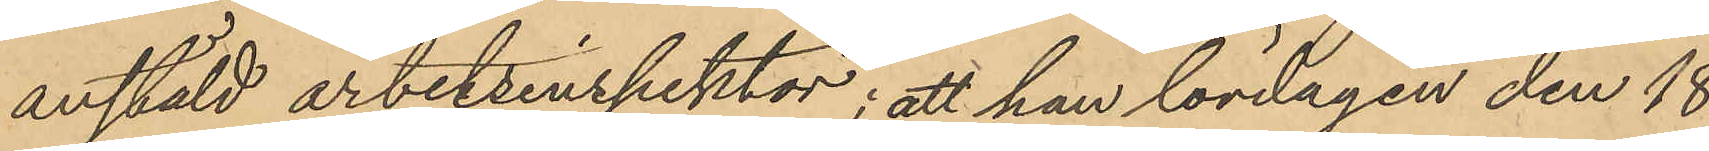anstäld arbetsinspektor; att han lördagen den 18
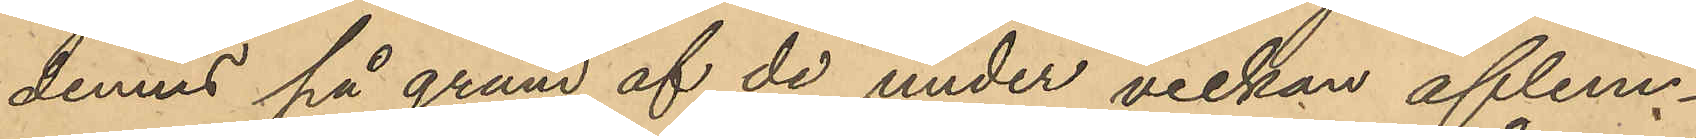dennes på grund af de under veckan aflem¬
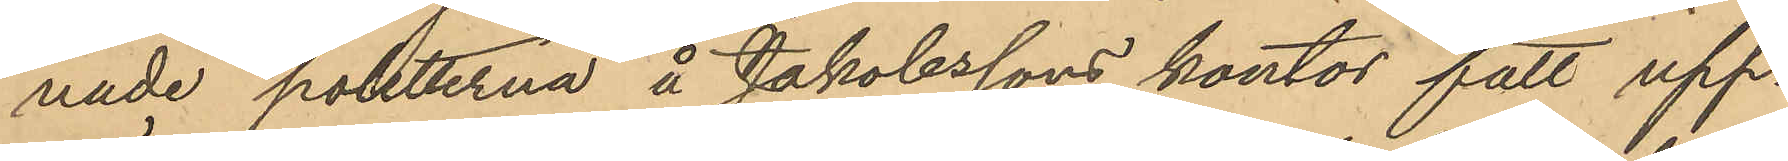nade poletterna å Jakobssons kontor fått upp¬
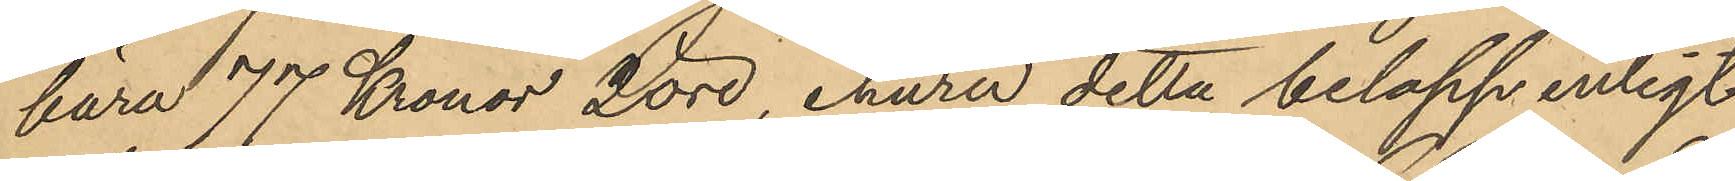bära 77 Kronor 2 öre, ehuru detta belopp enligt
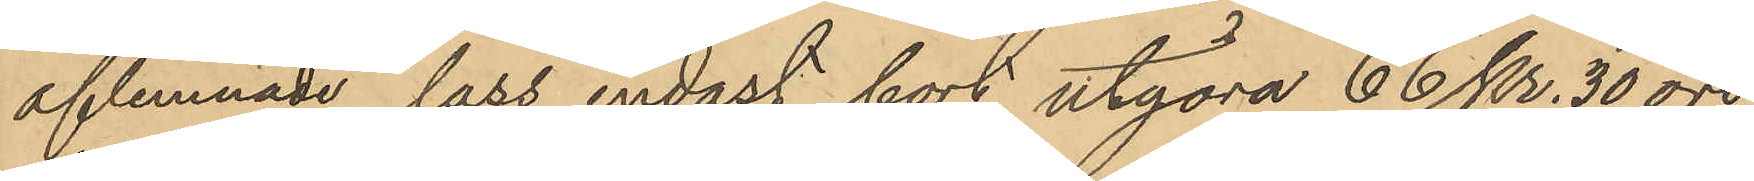aflemnade lass endast bort utgöra 66 Kr. 30 öre,
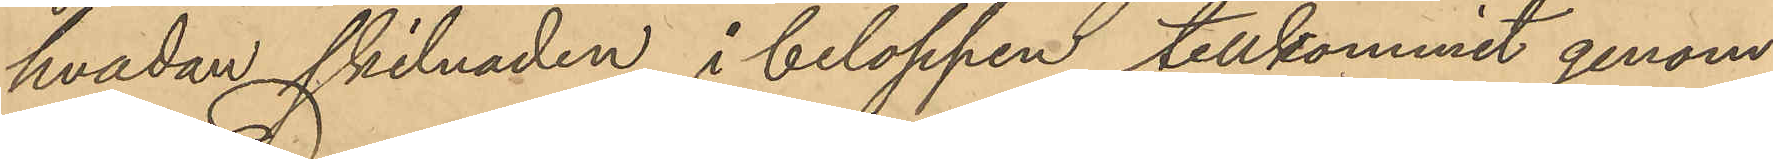hvadan skilnaden i beloppen tillkommit genom
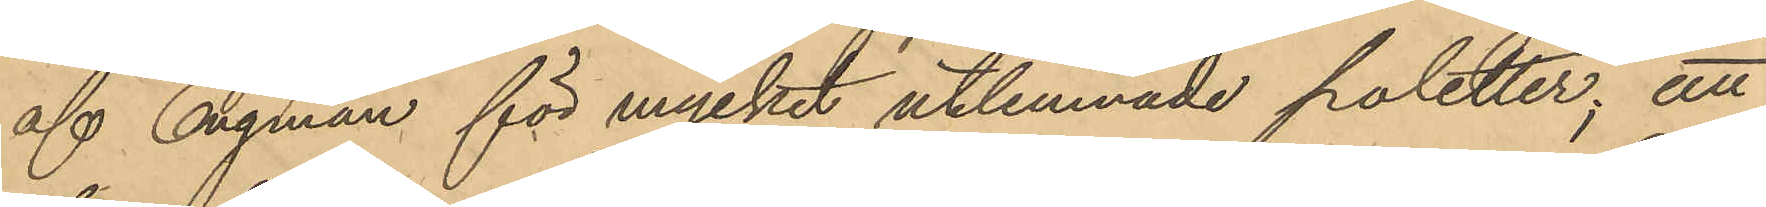af Engman för mycket utlemnade poletter; att
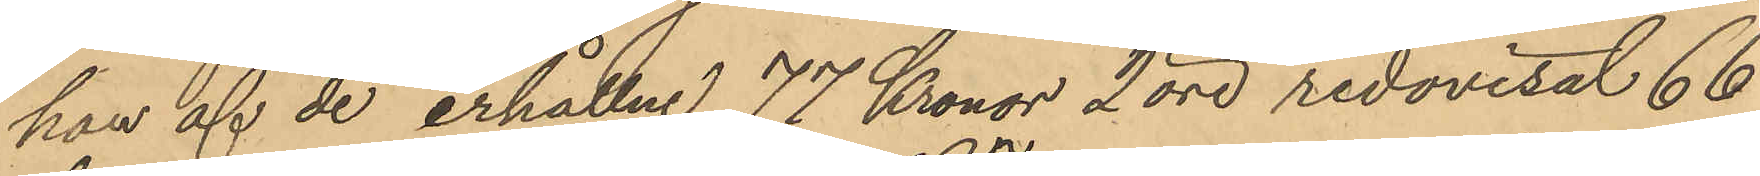han af de erhållne 77 Kronor 2 öre redovisat 66
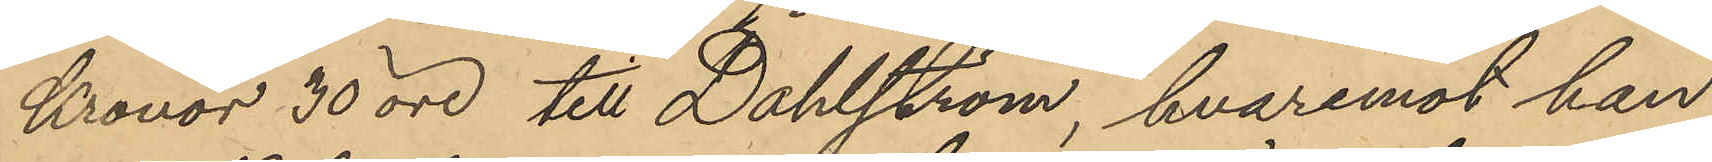Kronor 30 öre till Dahlström, hvaremot han
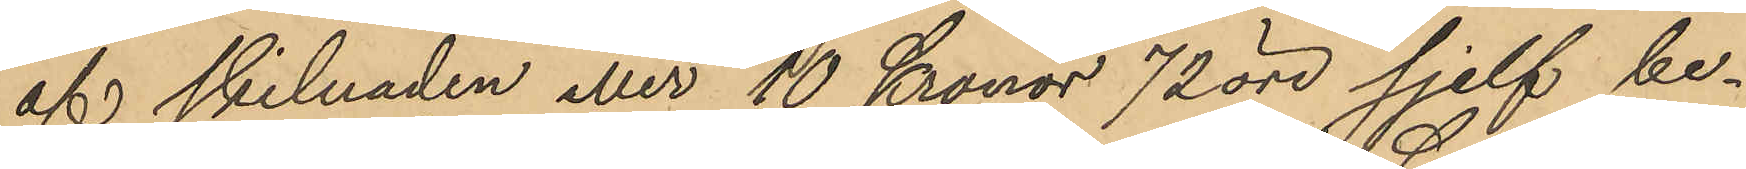af skilnaden eller 10 Kronor 72 öre sjelf be¬
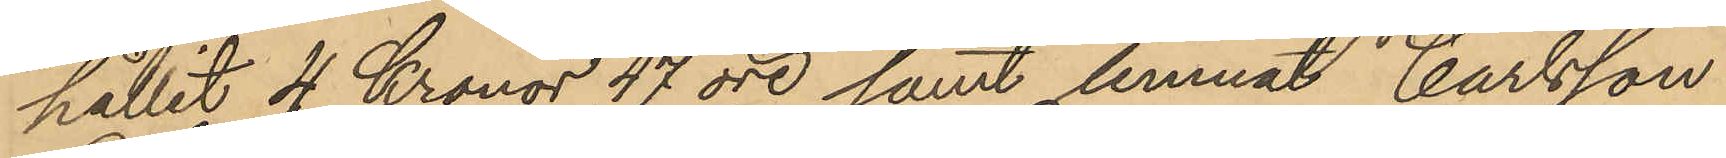hållit 4 Kronor 47 öre samt lemnat Carlsson
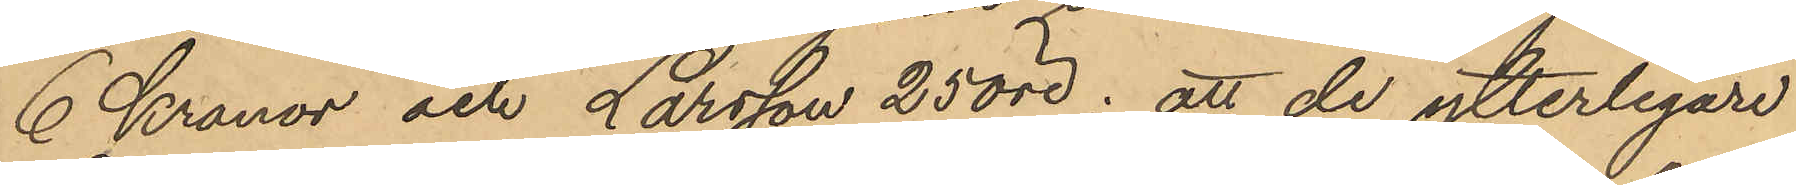6 Kronor och Larsson 25 öre; att de ytterligare
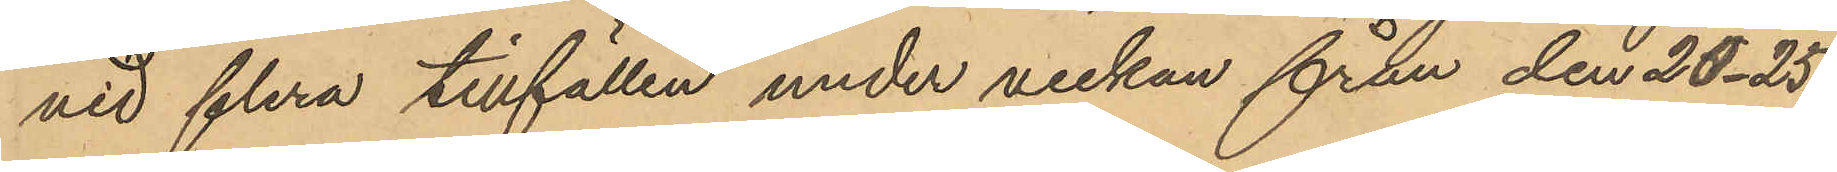vidflera tillfällen under veckan från den 20-25
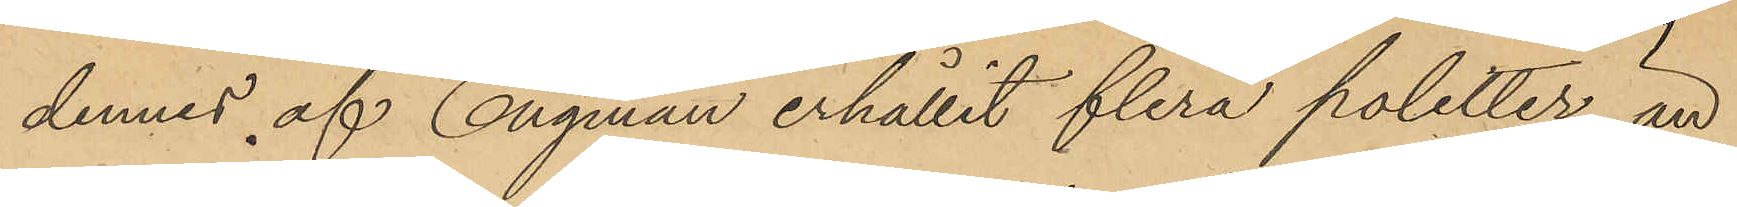dennes af Engman erhållit flera poletter, än
